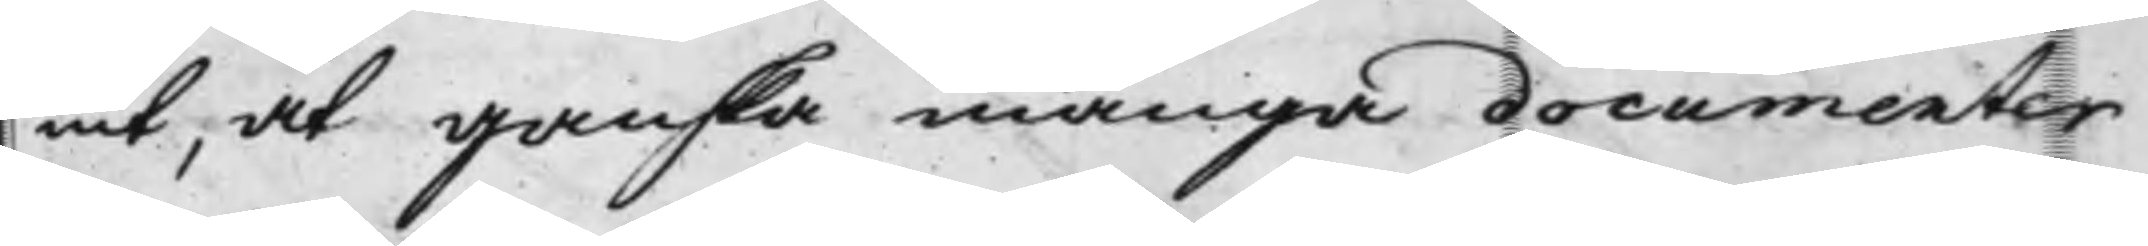nit, at ganska många documenter
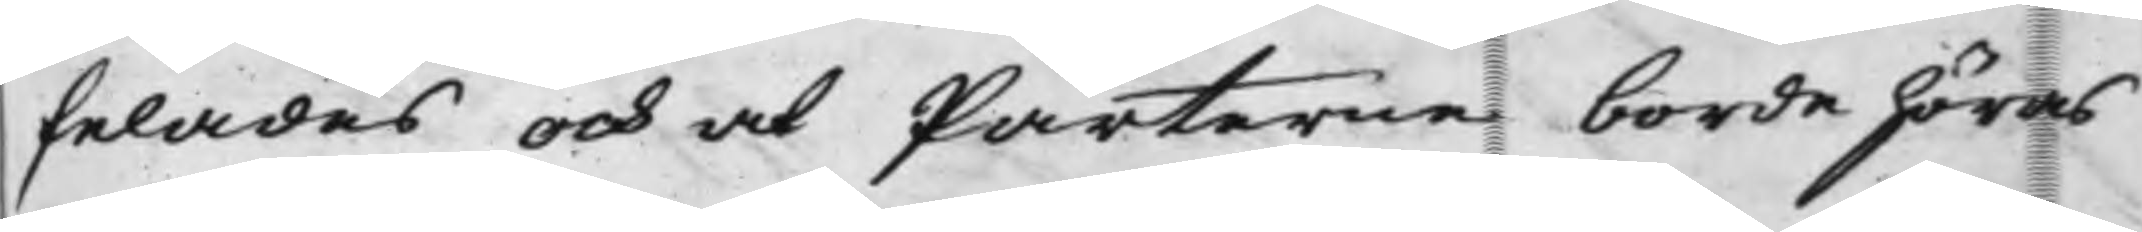felades och at Parterne borde höras
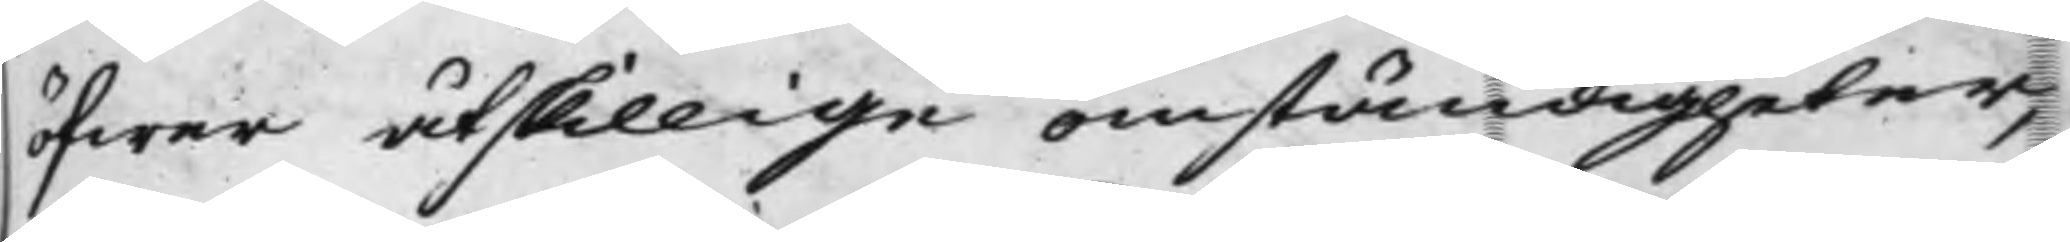öfwer åtskillige omständigheter,
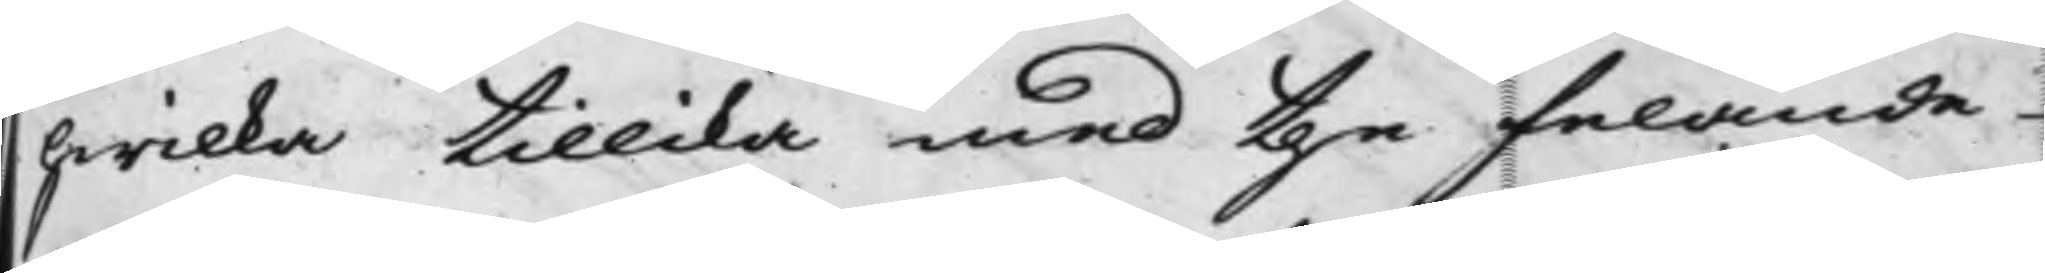hwilka tillika med the felande
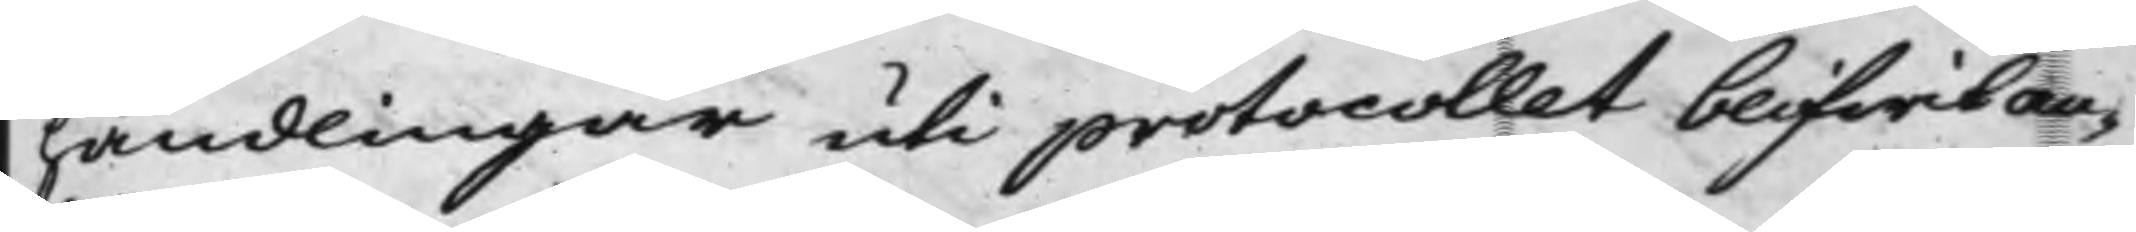handlingar uti protocollet blifwit an¬
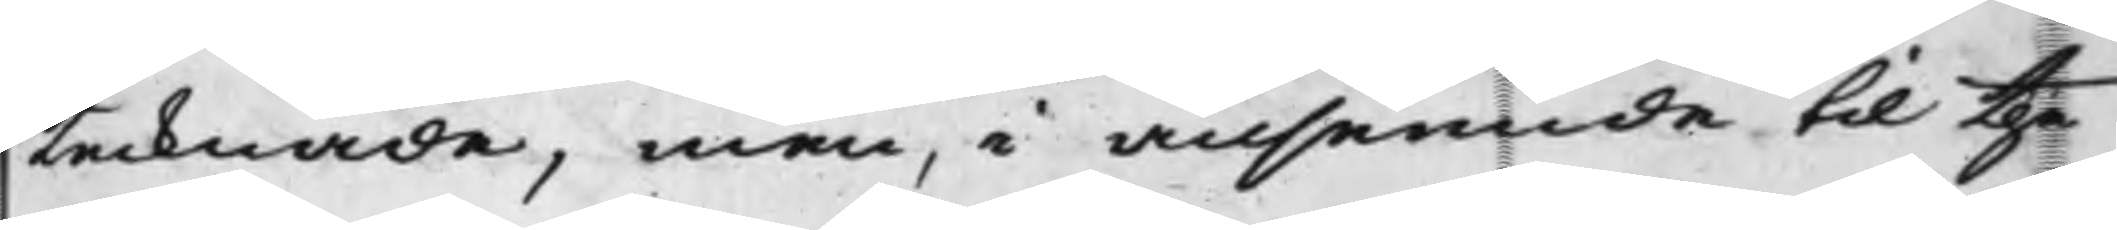tecknade, men, i anseende till the
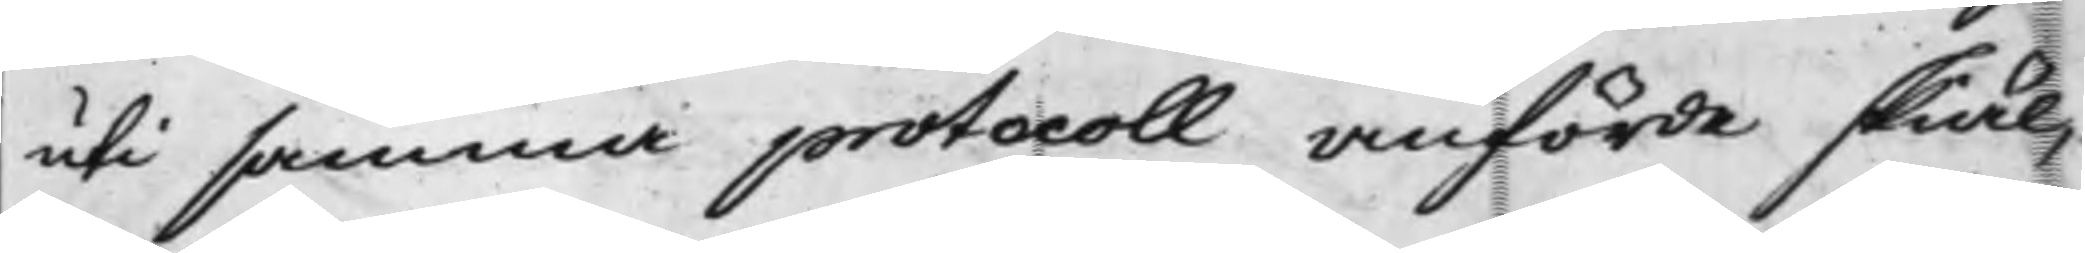uti samma protocoll anförde skiäl,
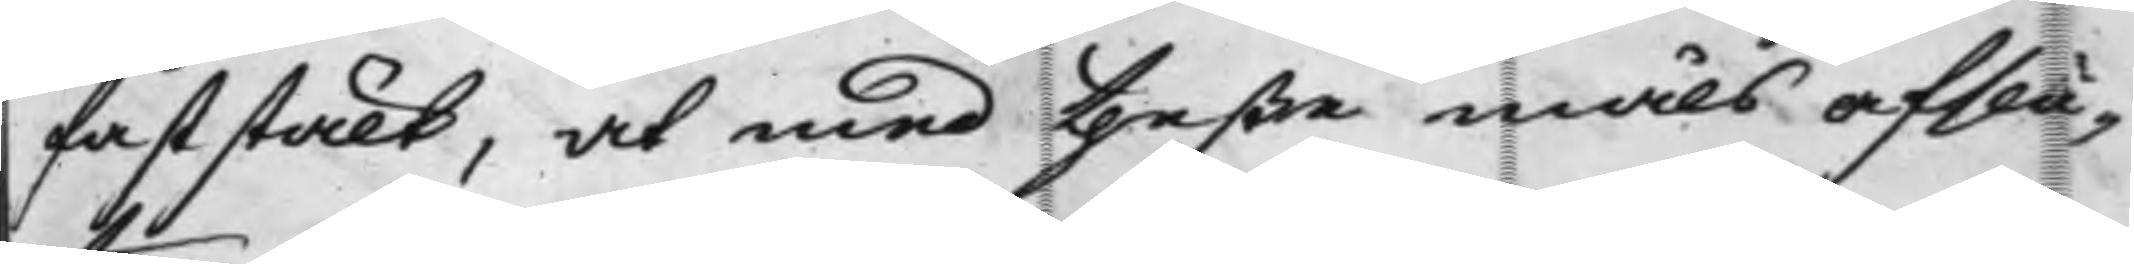faststält, at med theße måls afslu¬
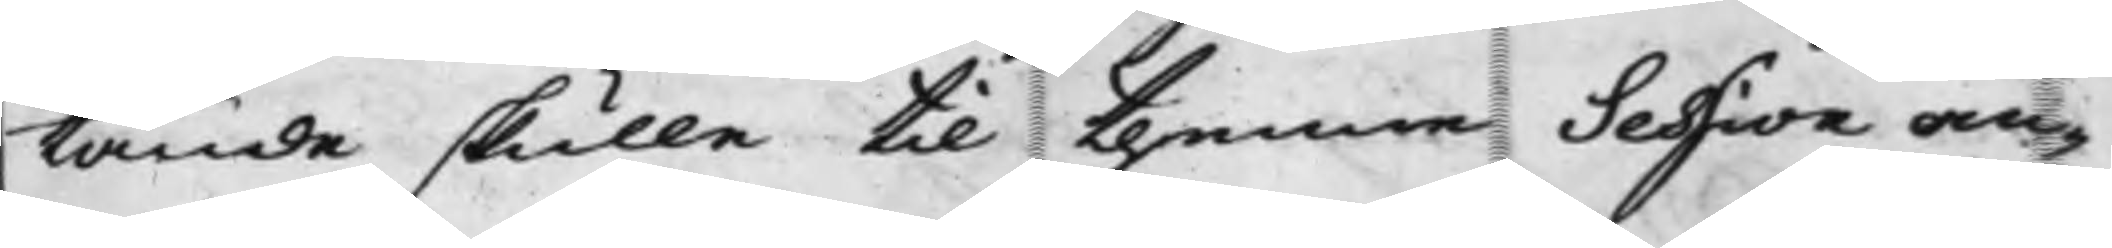tande skulle till thenne Session an¬
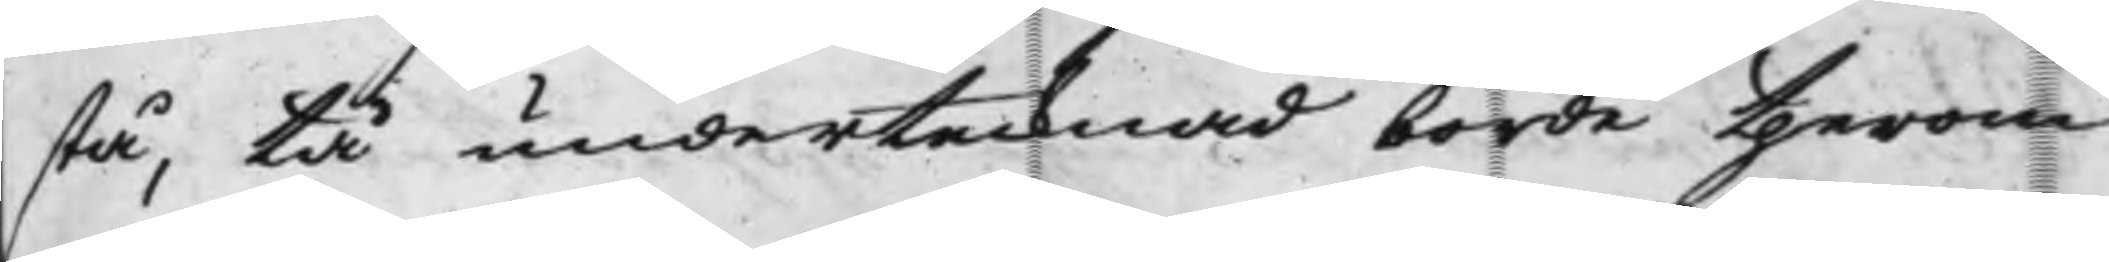stå, tå undertecknad borde therom
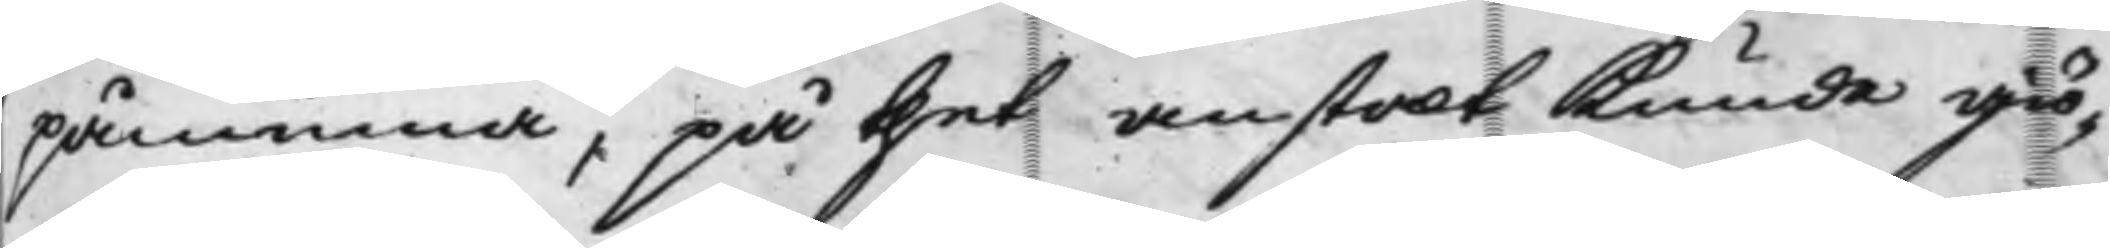påminna, på thet anstalt kunde giö¬
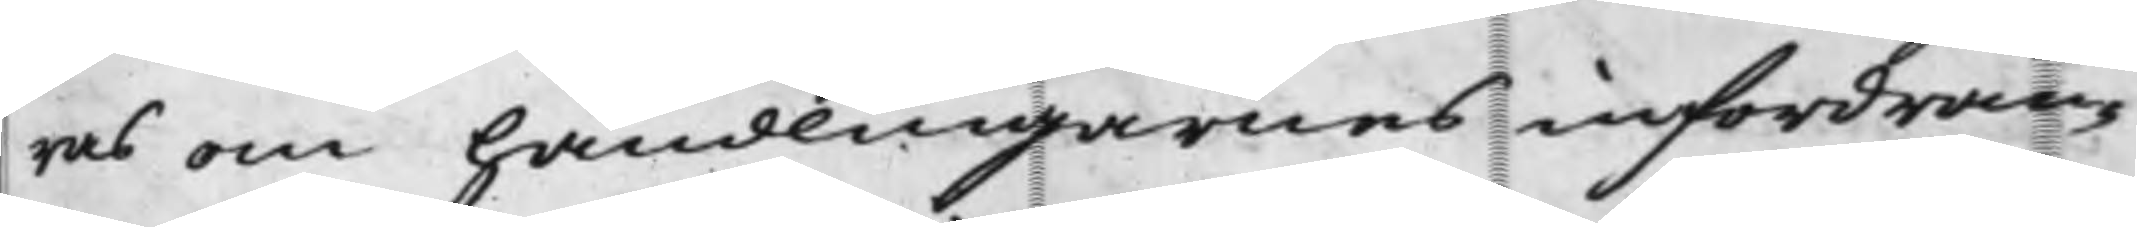ras om handlingarnes infordran¬
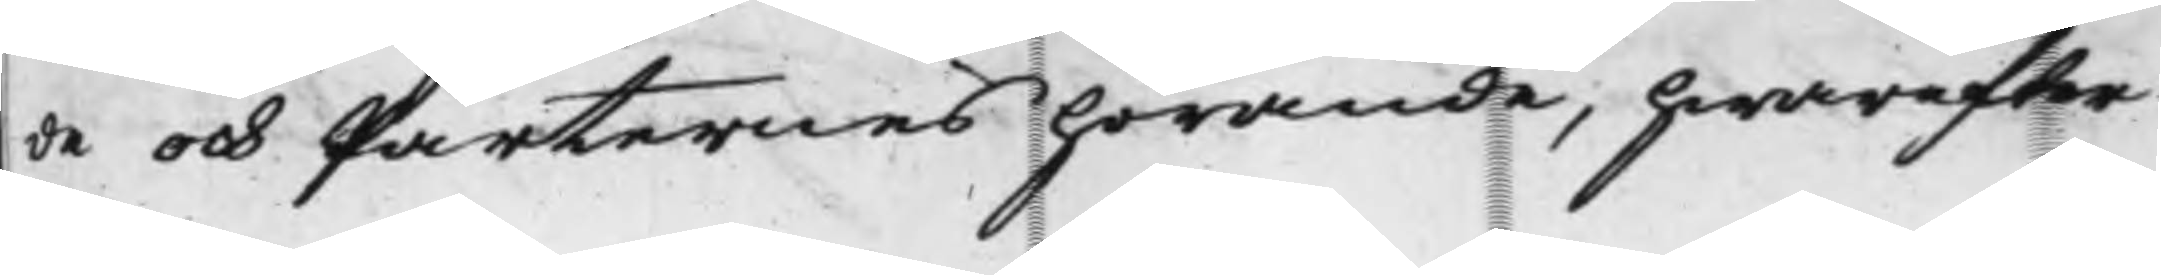de och Parternes hörande, hwarefter
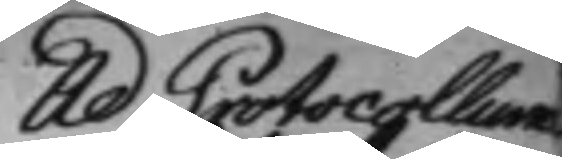Ad Protocollum
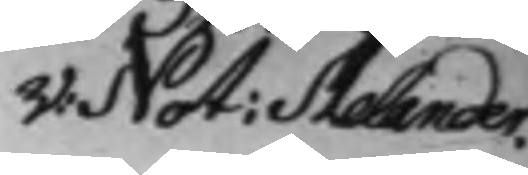V: Not: Melander.
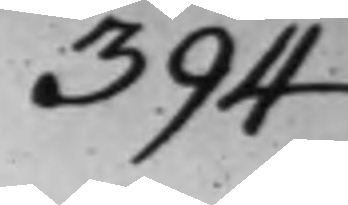394
